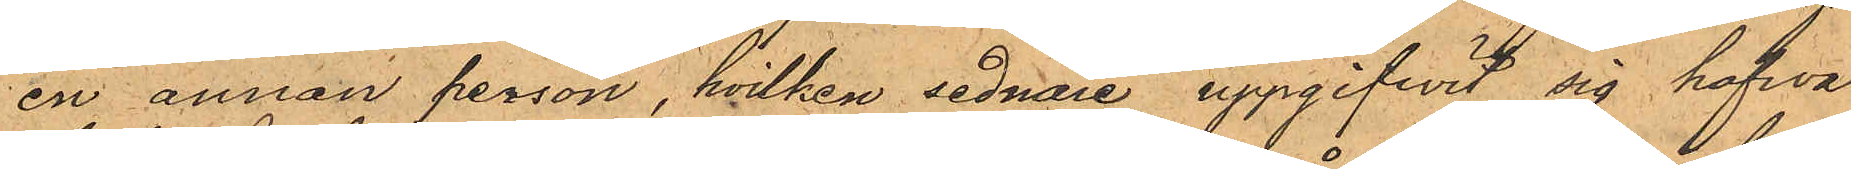en annan person, hvilken sednare uppgifvit sig hafwa
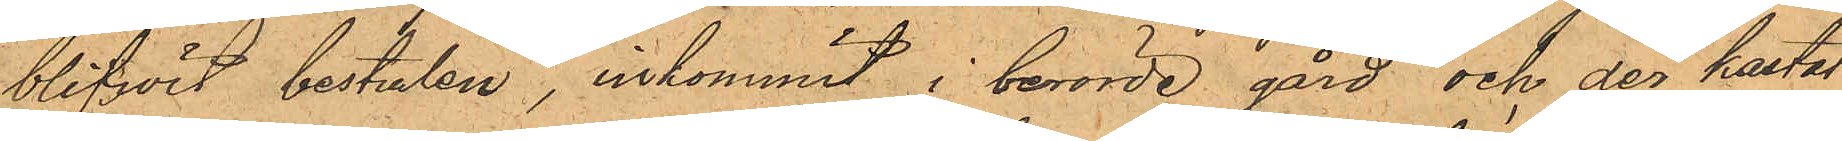blifvit bestulen, inkommit i berörde gård och der kastat
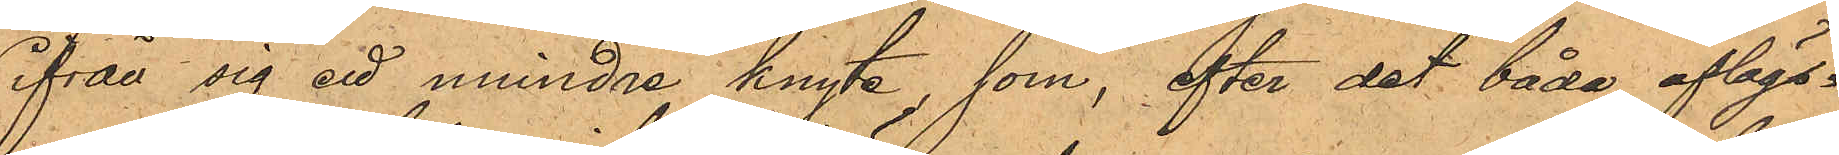ifrån sig ett mindre knyte, som, efter det båda aflägs¬
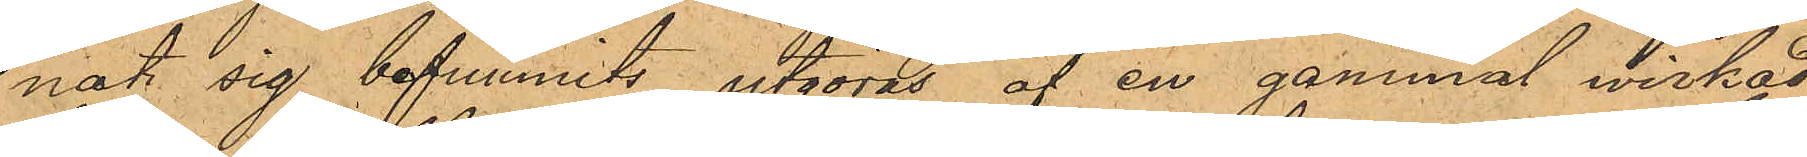nat sig befunnits utgöras af en gammal wirkad
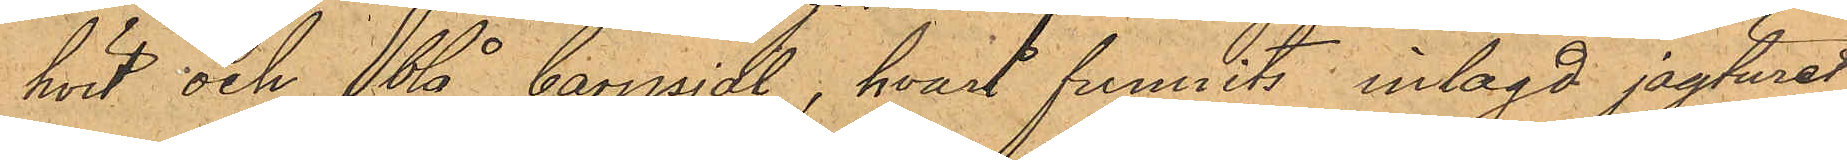hvit och blå barnjal, hvari funnits inlagd jagturet;
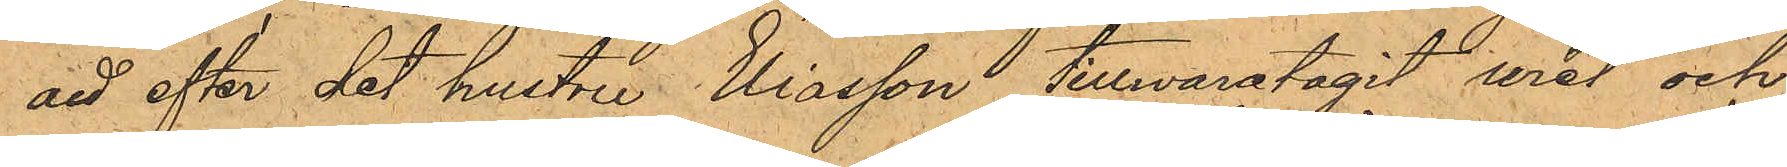att efter det hustru Eliasson tillwaratagit uret och
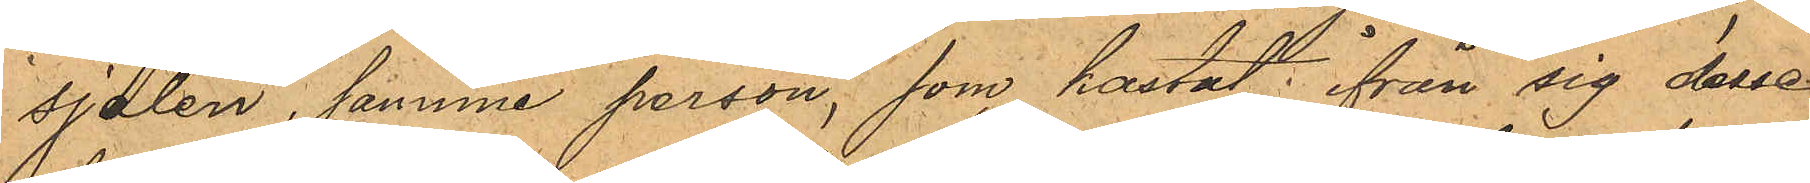sjalen, samma person, som kastat ifrån sig desse
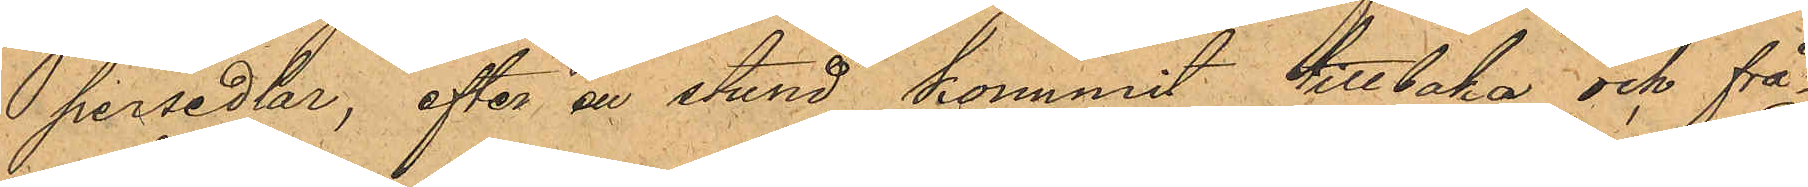persedlar, efter en stund kommit tillbaka och frå¬
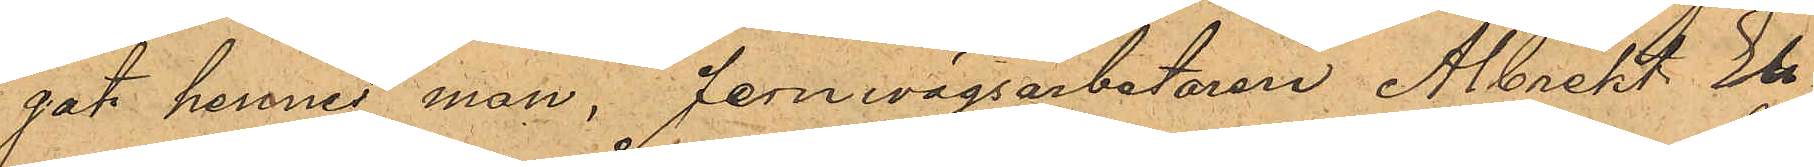gat hennes man, Jernwägsarbetaren Albrekt Eli¬
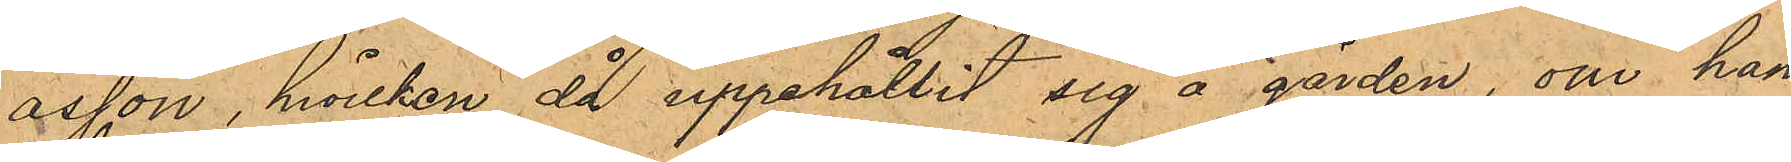asson, hvilken då uppehållit sig å gården, om han
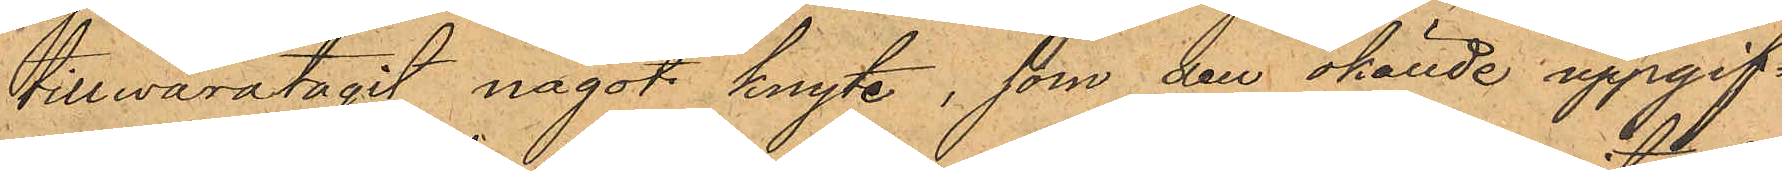tillwaratagit något knyte, som den okände uppgif¬
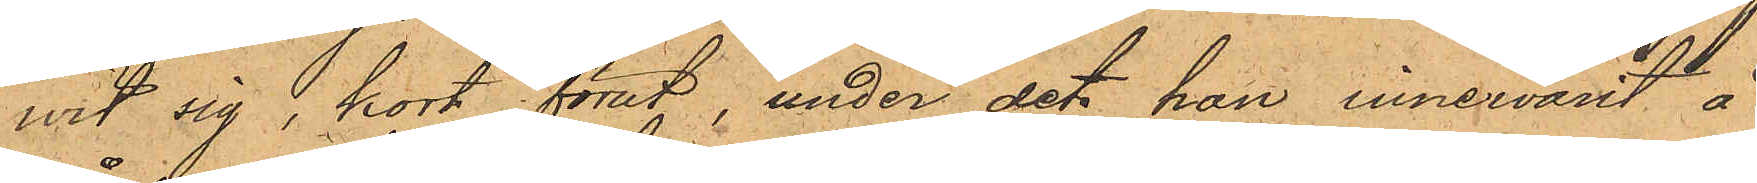wit sig, kort förut, under det han innewarit å
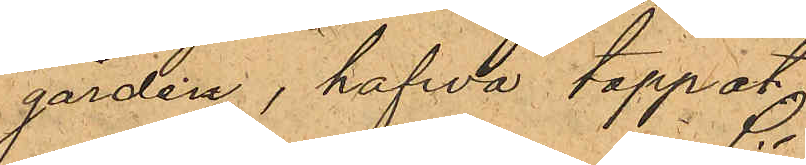gården, hafwa tappat
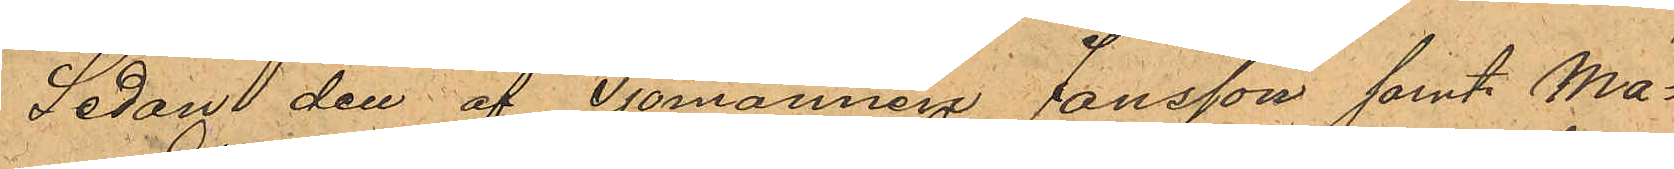Sedan den af Sjömannen Jansson, samt Ma¬
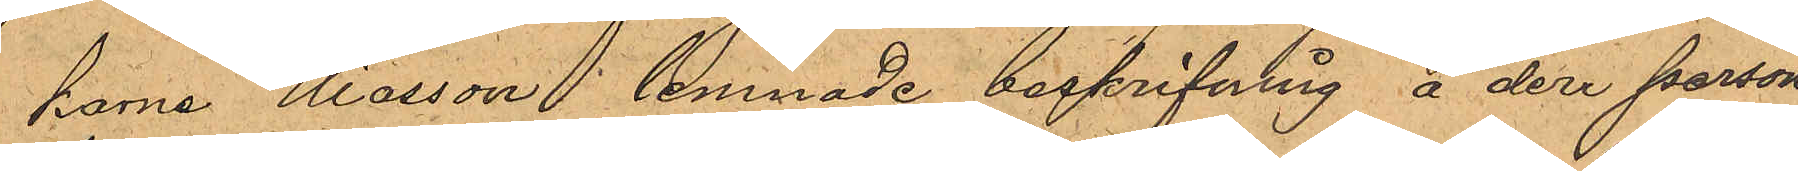karna Eliasson lemnade beskrifning å den person
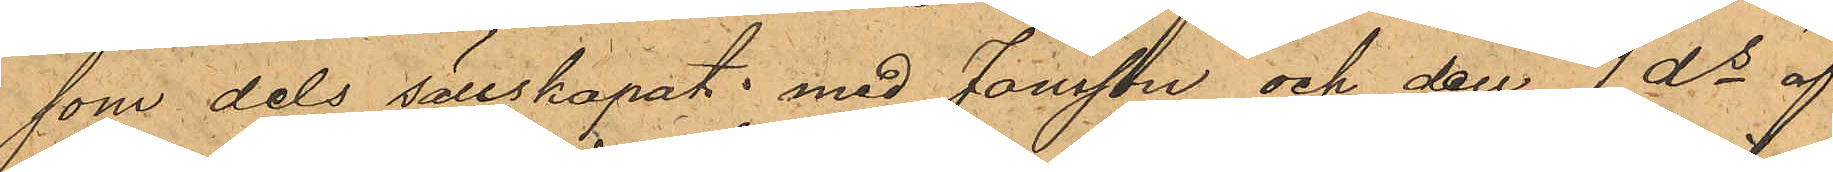som dels sällskapat med Jansson och den 1 ds af
